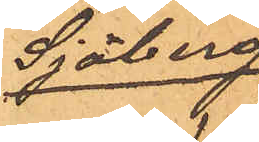Sjöberg
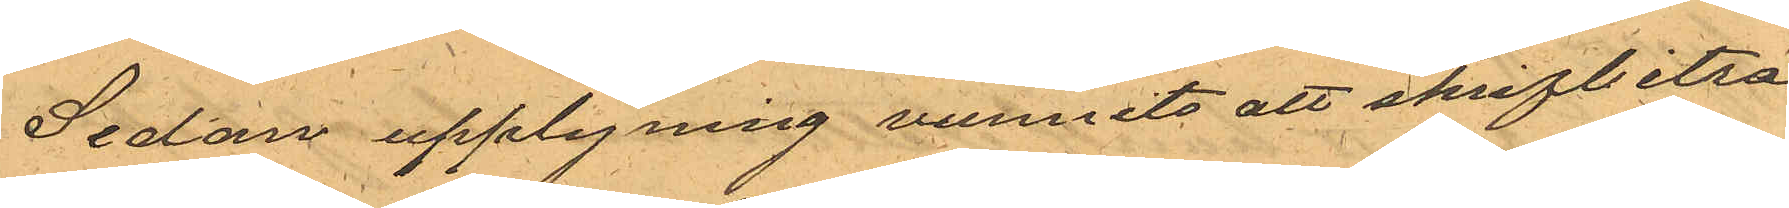Sedan upplysning vunnits att skrifbiträ
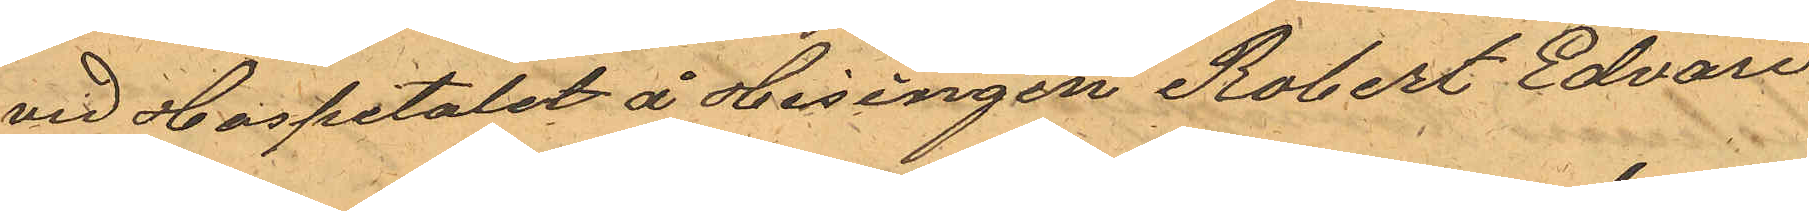vid Hospitalet å Hisingen Robert Edvard
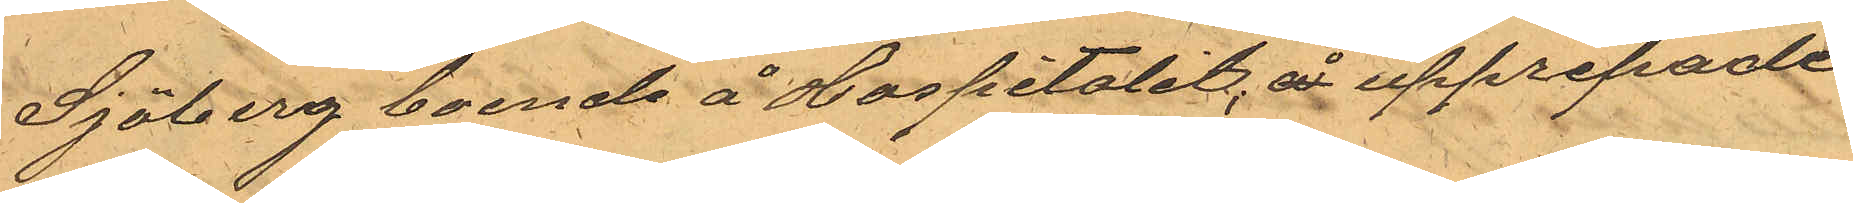Sjöberg boende å Hospitalet, å upprepade
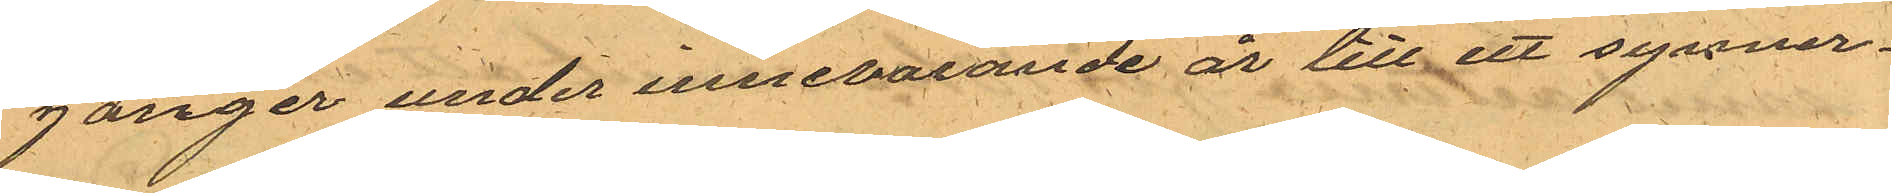gånger under innevarande år till ett synner¬
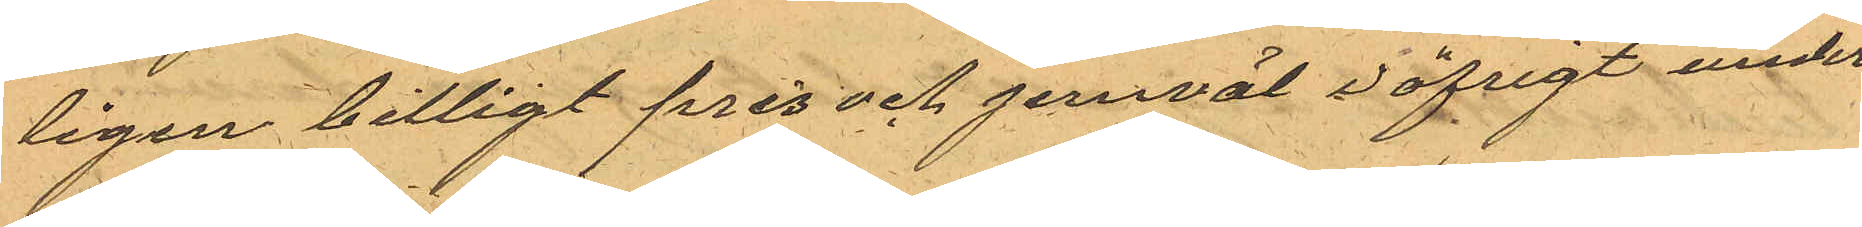ligen billigt pris och jemväl i öfrigt under
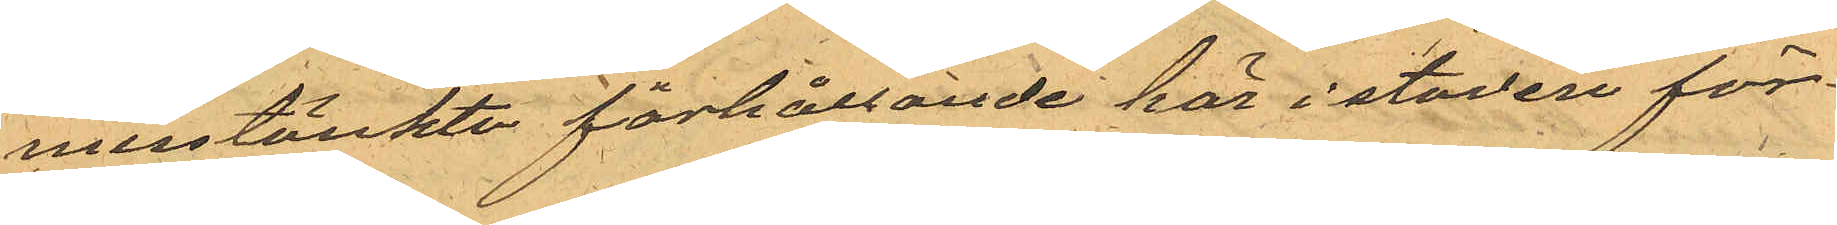misstänkta förhållande här i stader för¬
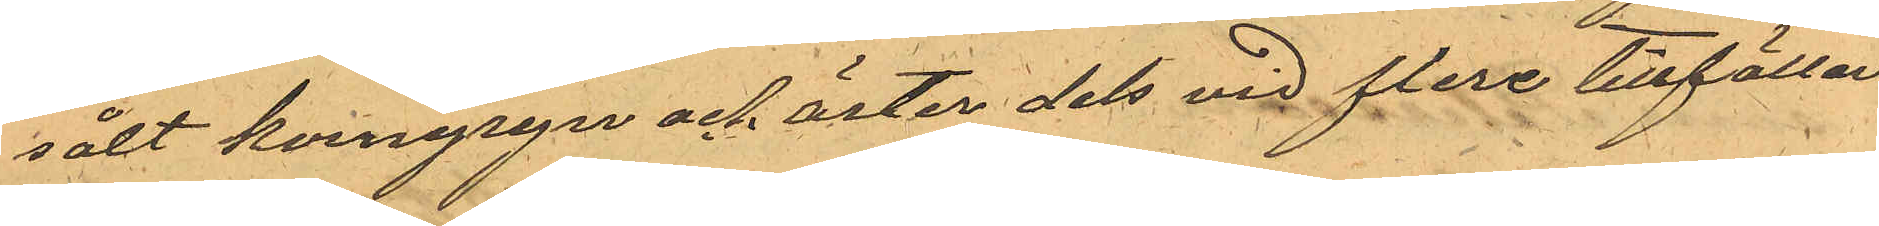sålt korngryn och ärter dels vid flere tillfällen
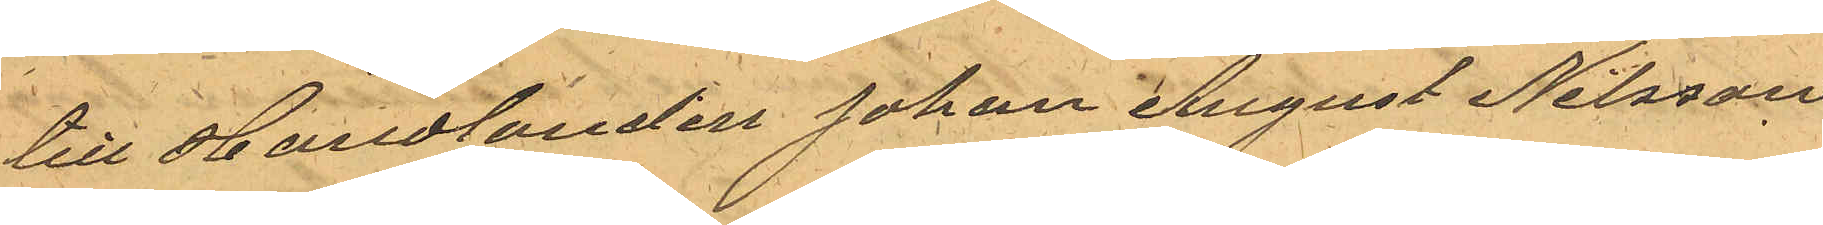till Handlanden Johan August Nilsson
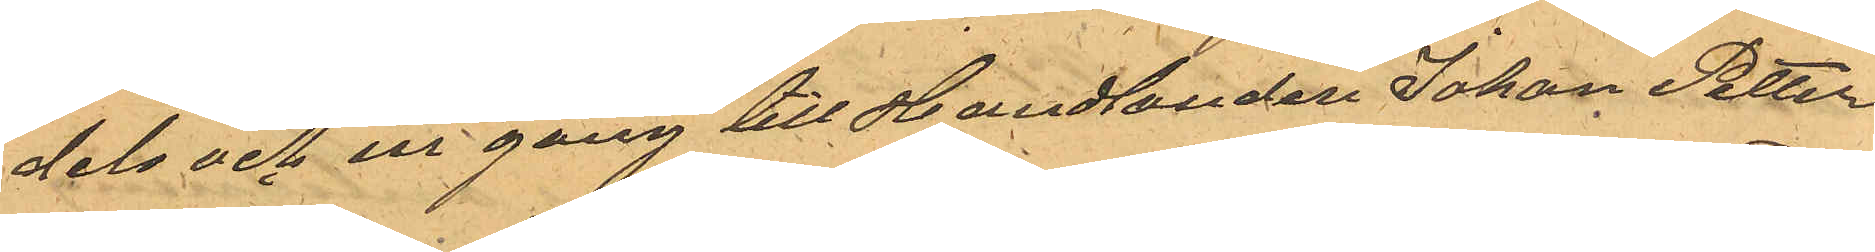dels och en gång till Handlanden Johan Petter
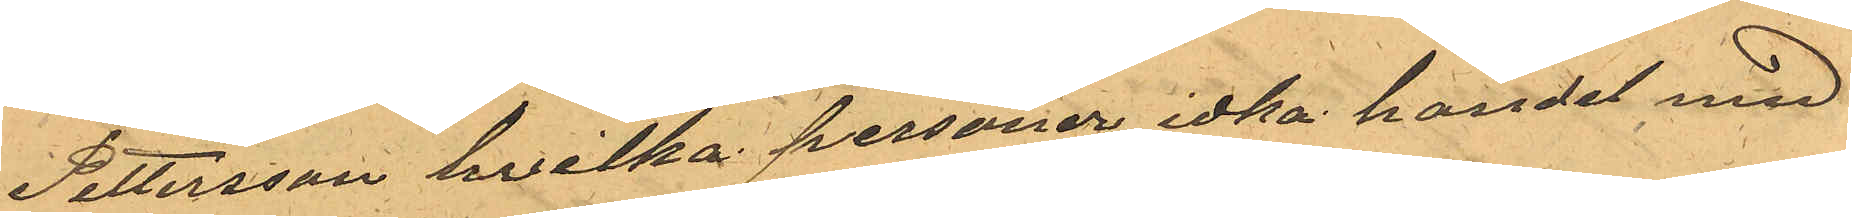Pettersson hvilka personer idka handel med
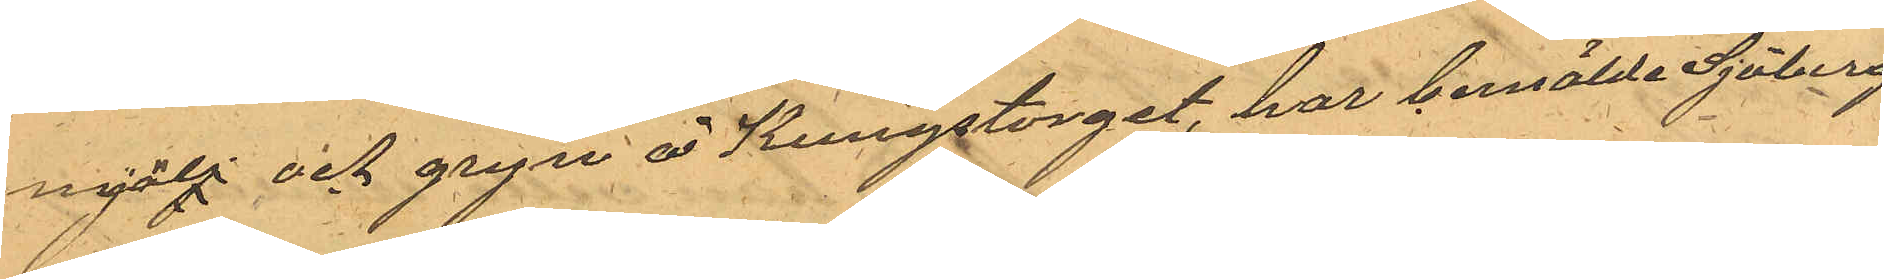mjölj och gryn å Kungstorget, har bemälde Sjöberg
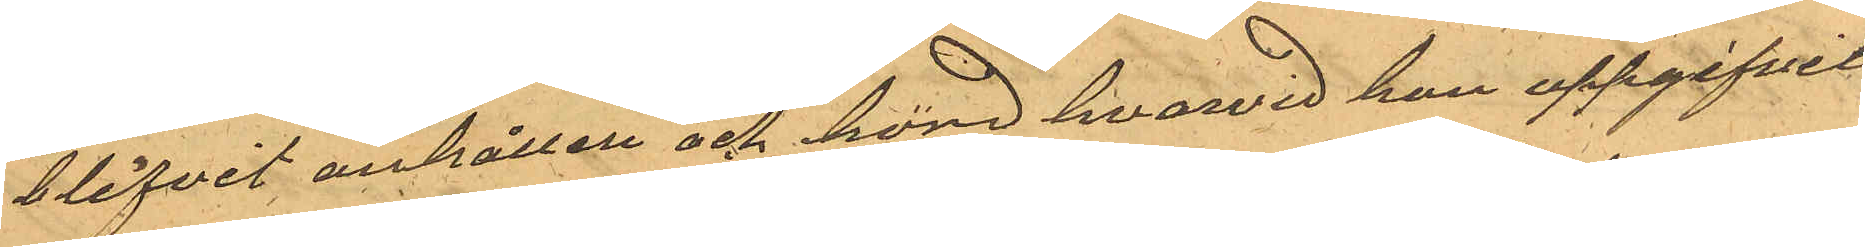blifvit anhållen och hörd hvarvid han uppgifvit
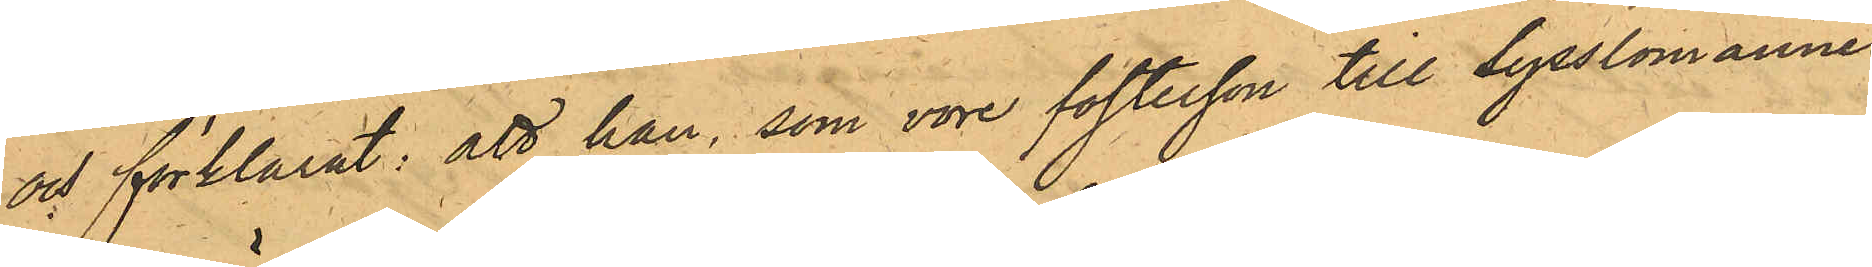och förklarat: att han, som vore fosterson till Sysslomannen
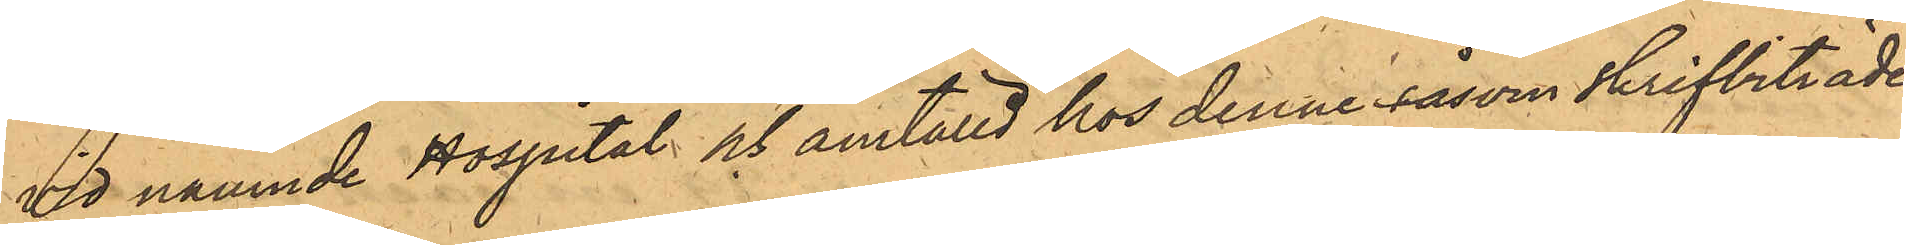vid nämnde Hospital och anställd hos denne såsom skrifbiträde,
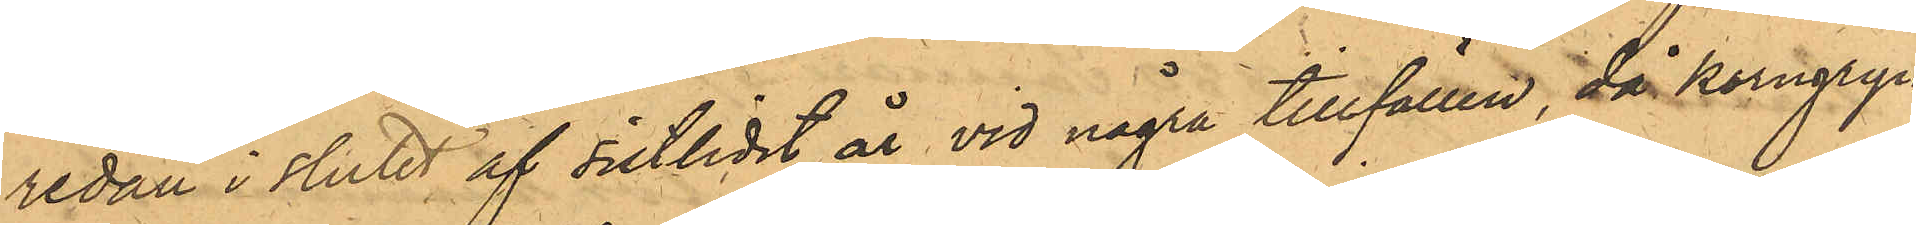redan i slutet af sistlidet år vid några tillfällen, då korngryn
